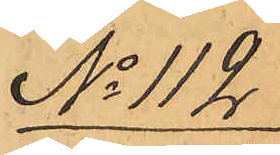No 112
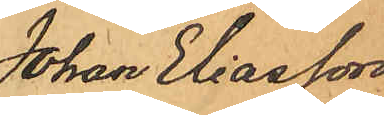Johan Eliasson
